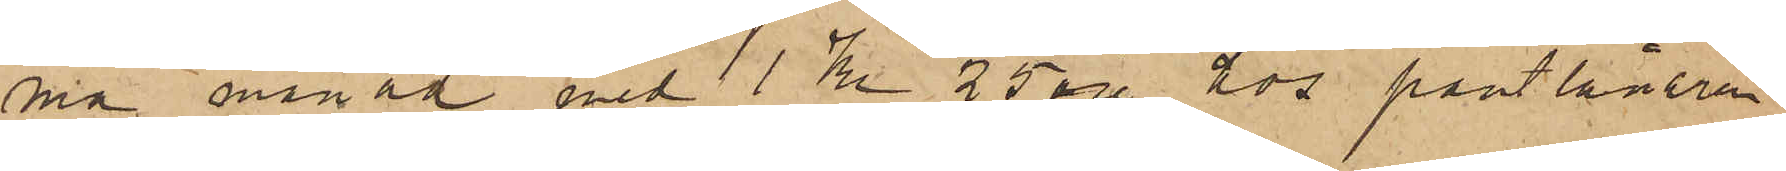ma månad med 1 Kr 25 öre hos pantlånaren
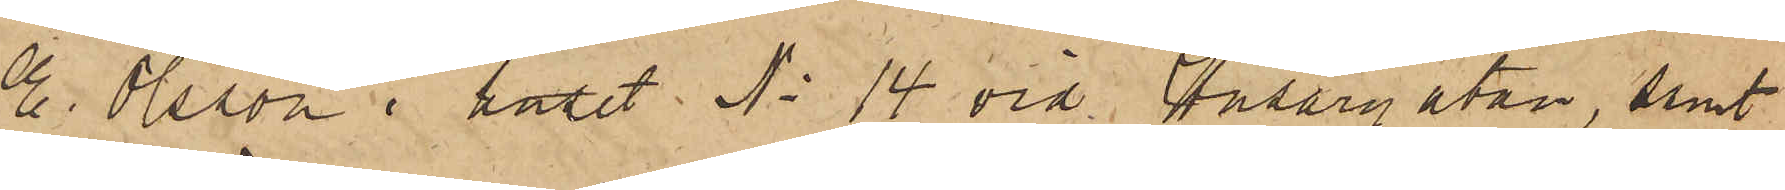E. Olsson i huset No 14 vid Husargatan, samt
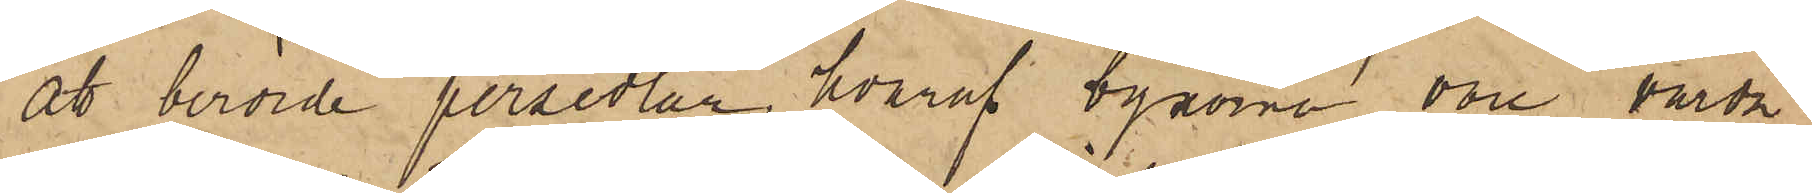att berörde persedlar, hvaraf byxorna som värda
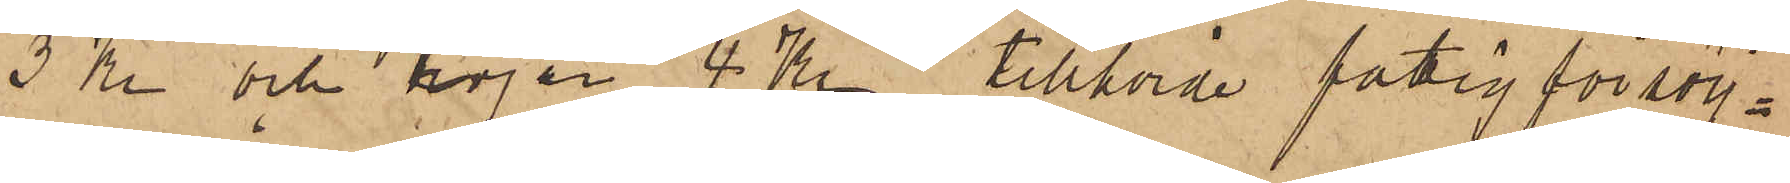3 Kr och tröjan 4 Kr tillhörde fattigförsörj¬
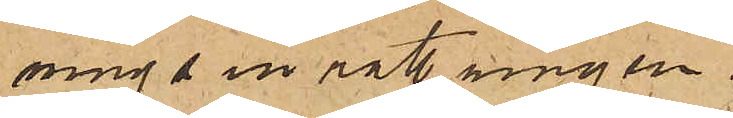ningsinrättningen.
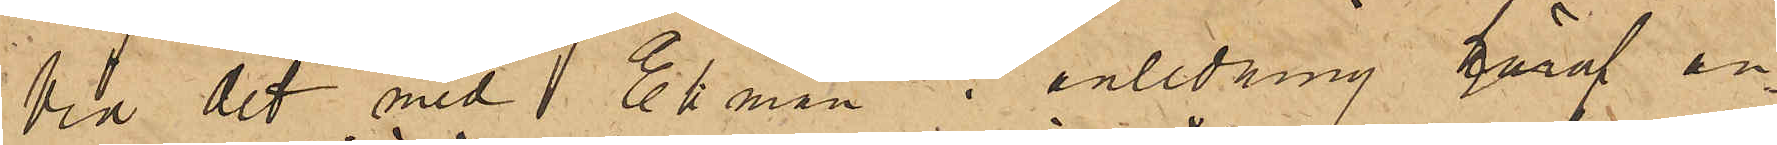Vid det med Ekman i anledning häraf an¬
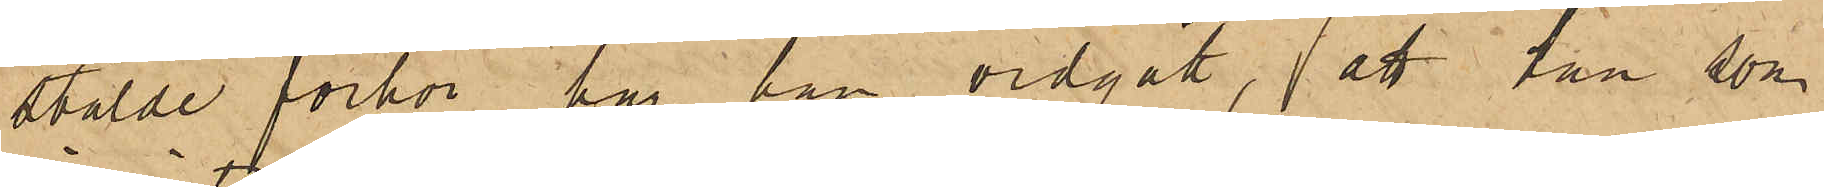stälde förhör, har han vidgått, att han som
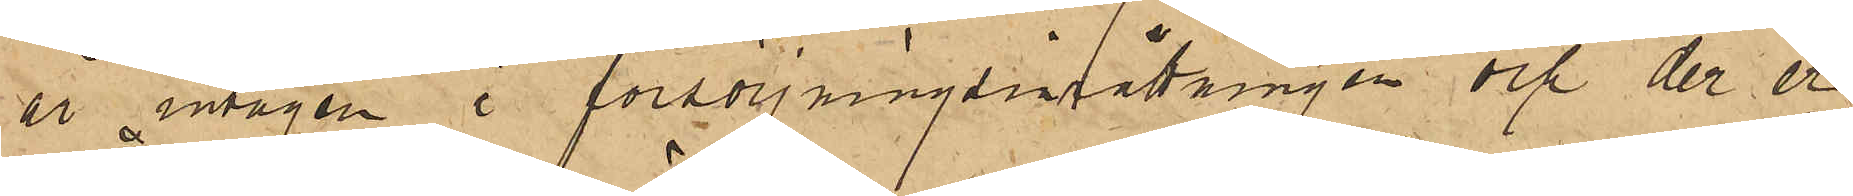är intagen i försörjningsinrättningen och der er¬
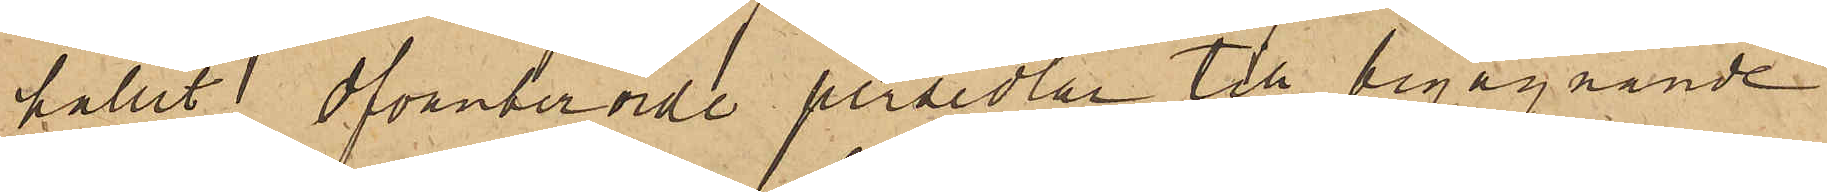hållit ofvanberörde persedlar till begagnande
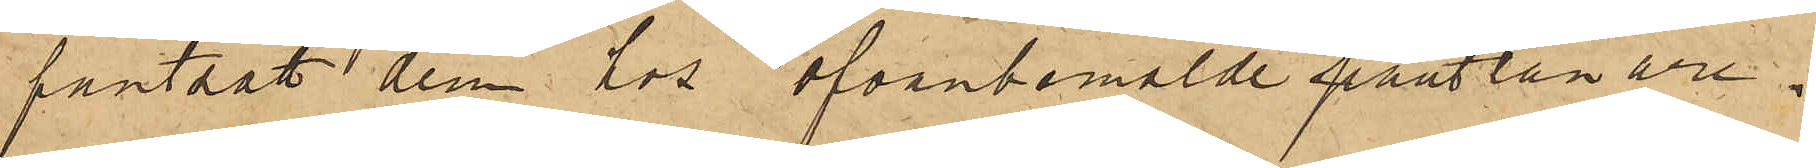pantsatt dem hos ofvanbemälde pantlånare.
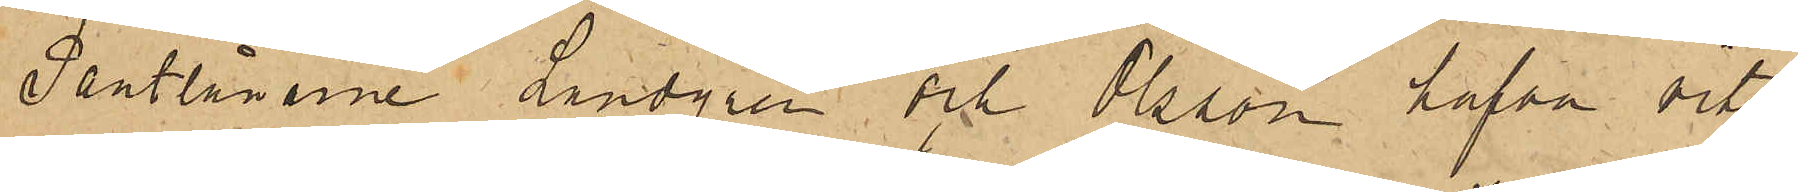Pantlånarne Lindgren och Olsson hafva vits¬
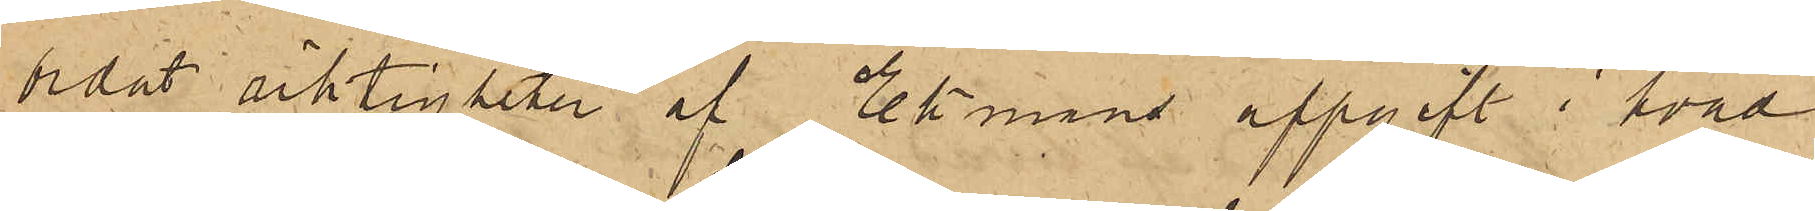ordat riktigheter af Ekmans uppgift i hvad
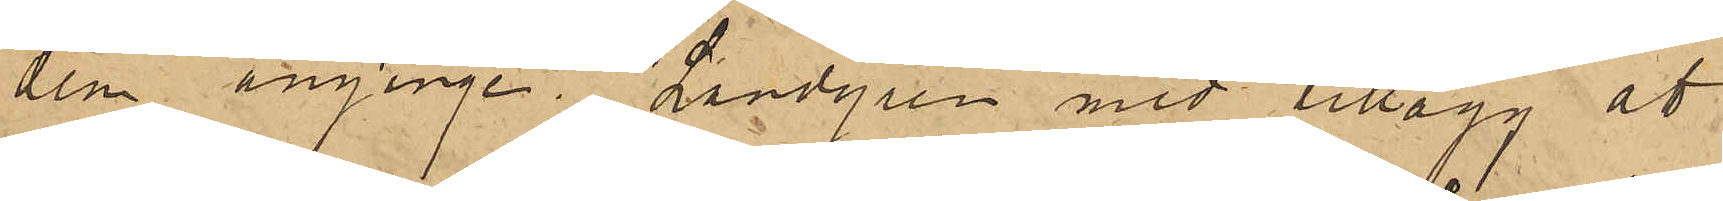dem anginge. Landgren med tillägg att
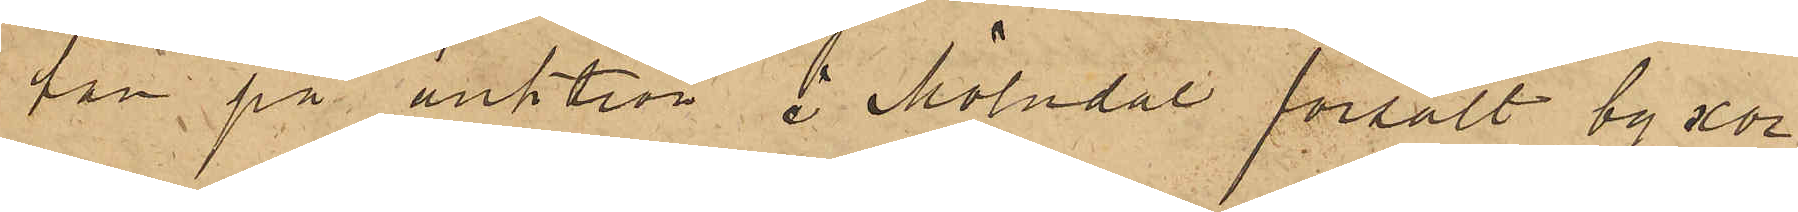han på auktion i Mölndal försålt byxor¬
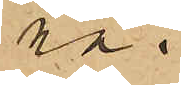na.
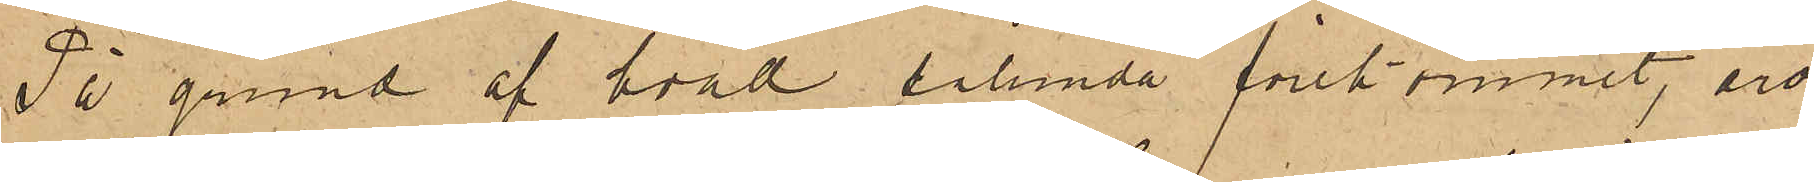På grund af hvad sålunda förekommit, äro
